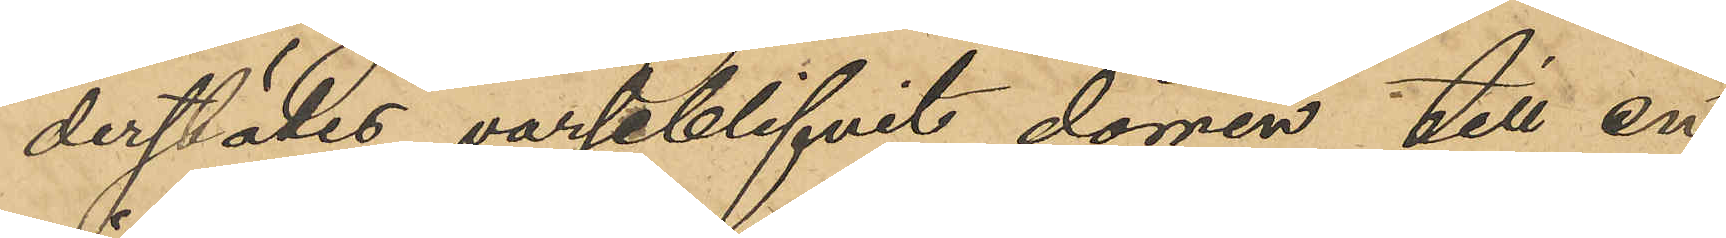derstädes varseblifvit dörren till en
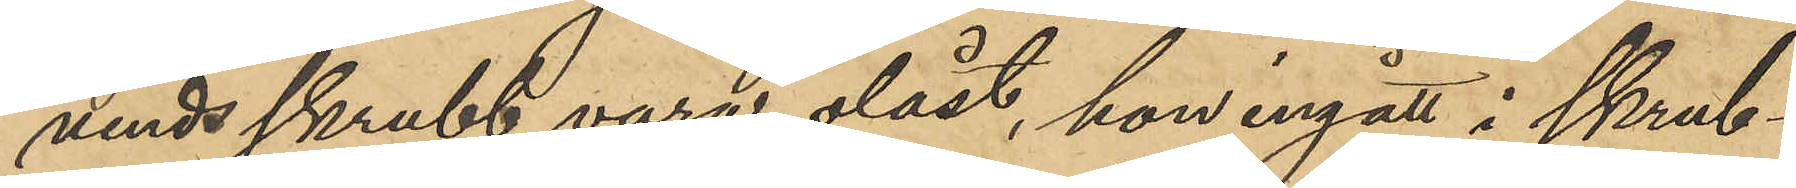vindsskrubb vara olåst, hon ingått i skrub¬
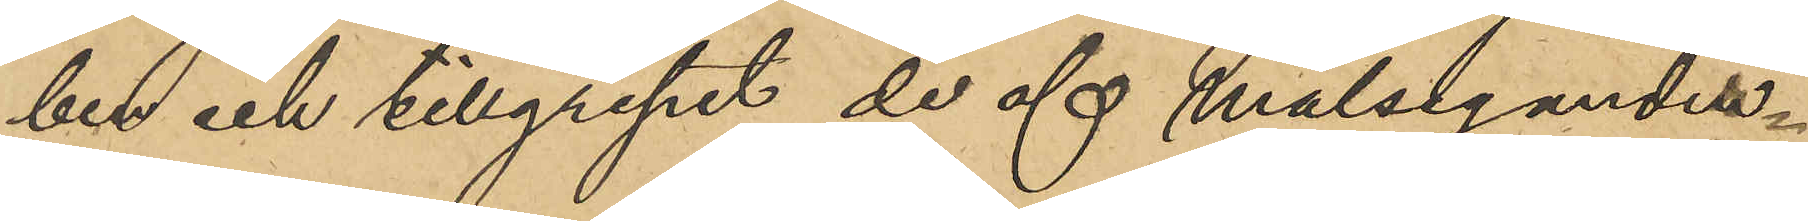ben och tillgripit de af målsegander¬
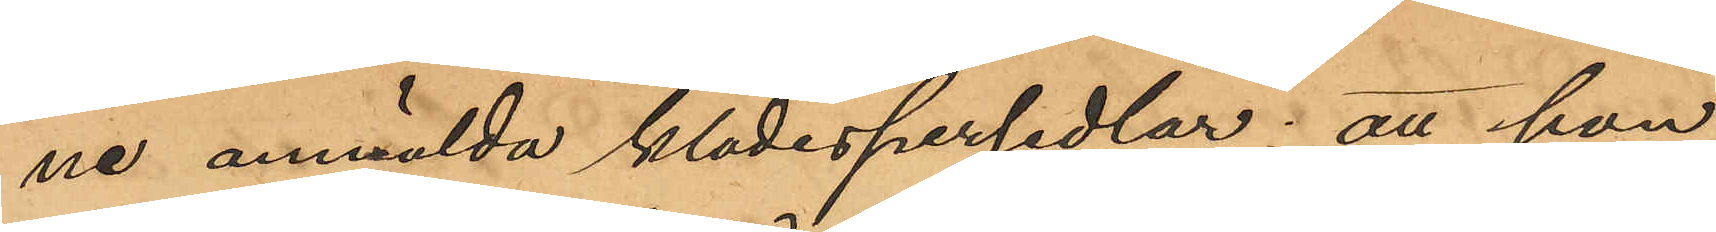ne anmälda klädespersedlar; att hon
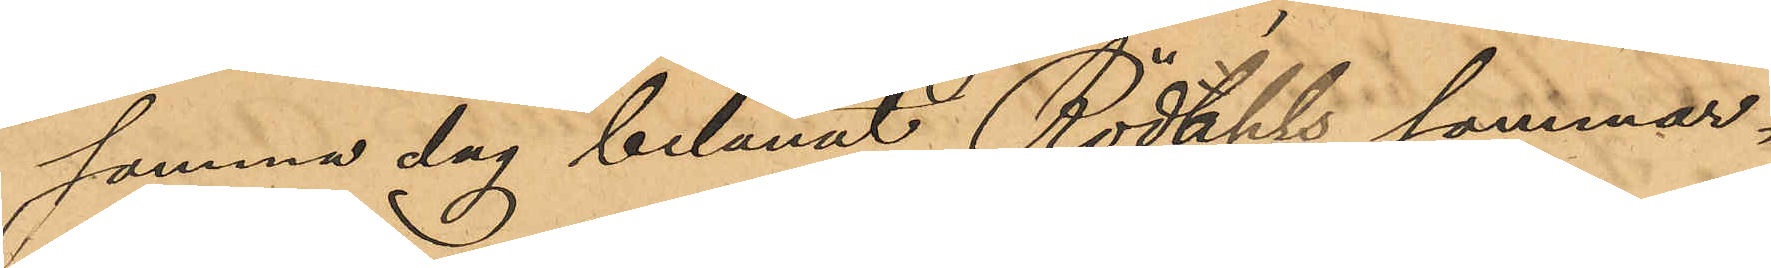samma dag belånat Rödahls sommar¬
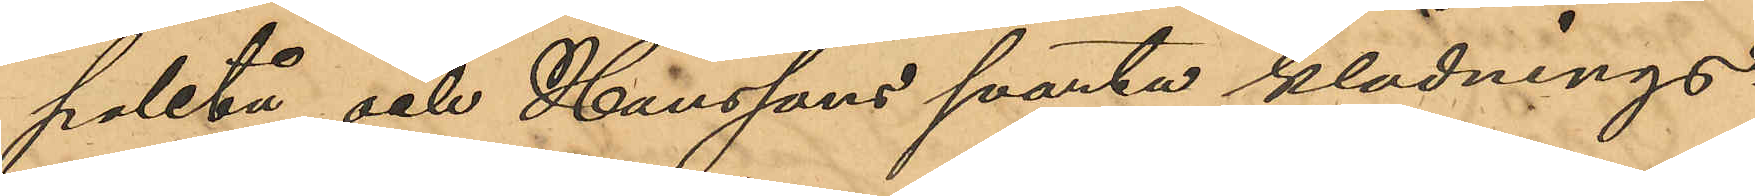paletå och Hanssons svarta klädnings¬
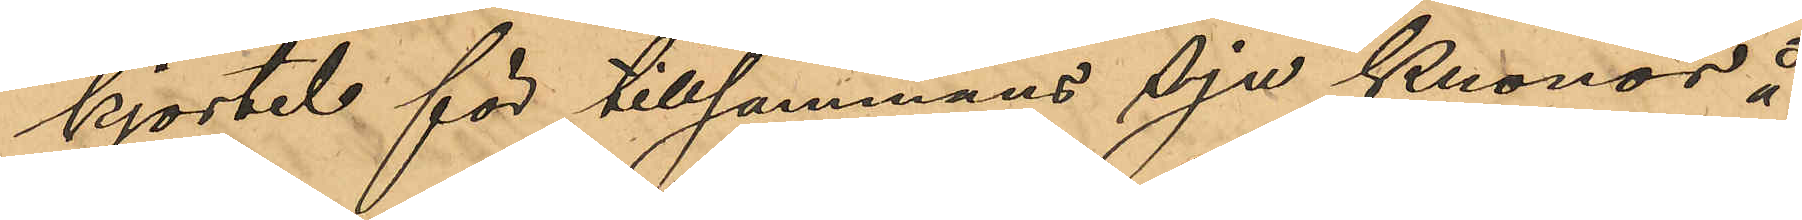kjortel för tillsammans Sju Kronor å
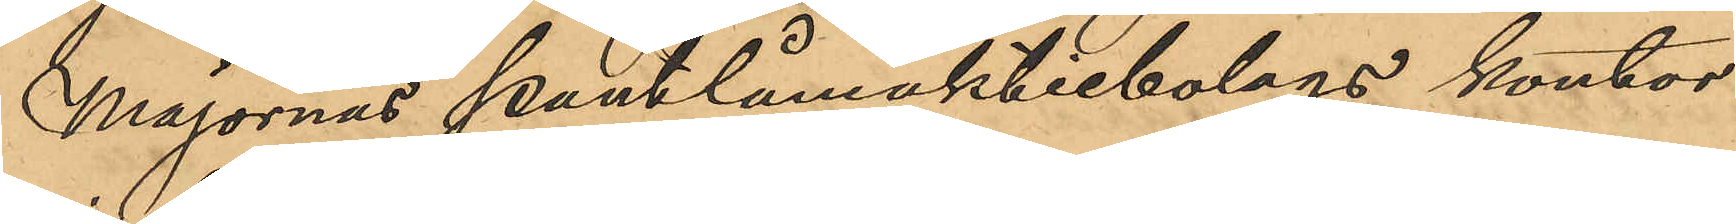Majornas pantlåneaktiebolags kontor
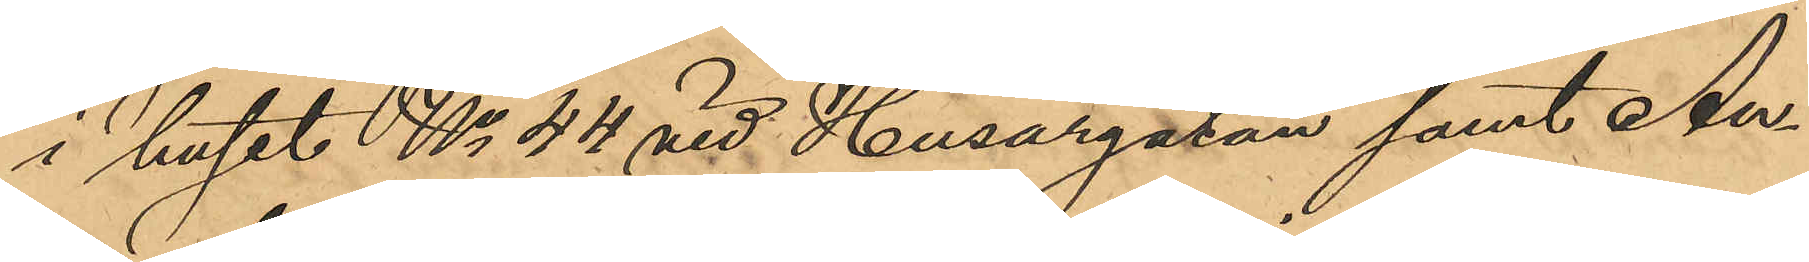i huset No 44 vid Husargasan samt An¬
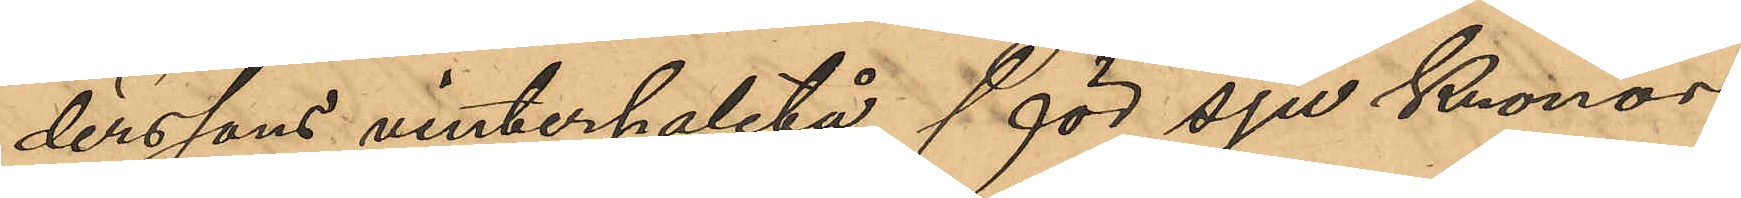derssons vinterpaletå för sju Kronor
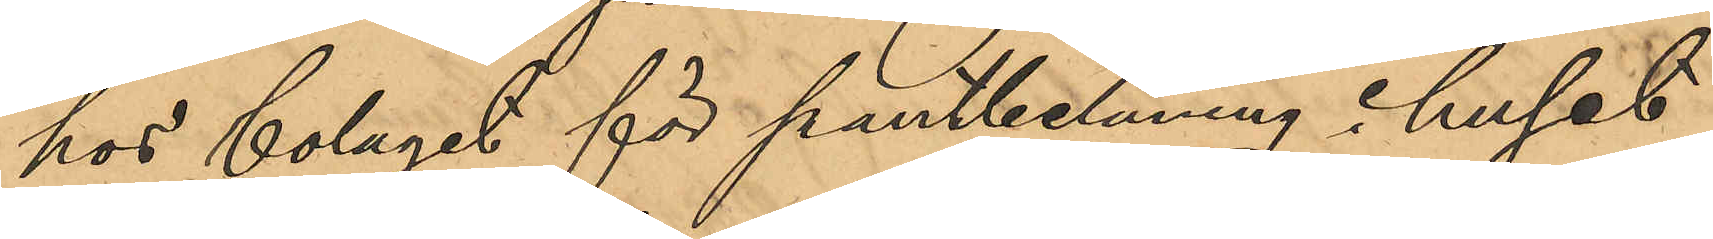hos bolaget för pantbelåning i huset
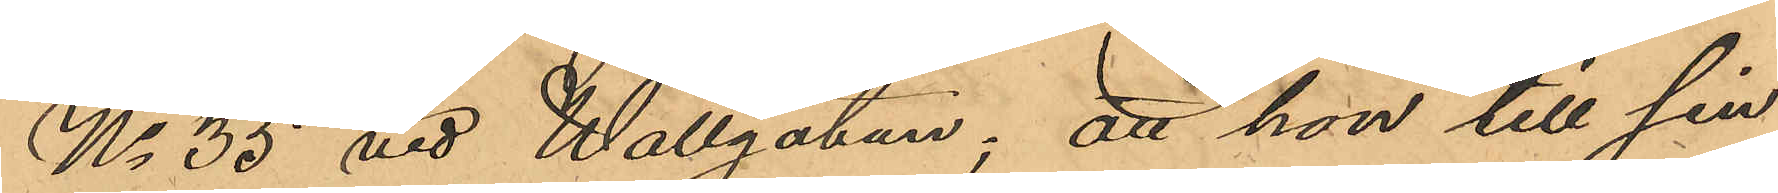No 35 vid Wallgatan; att hon till sin
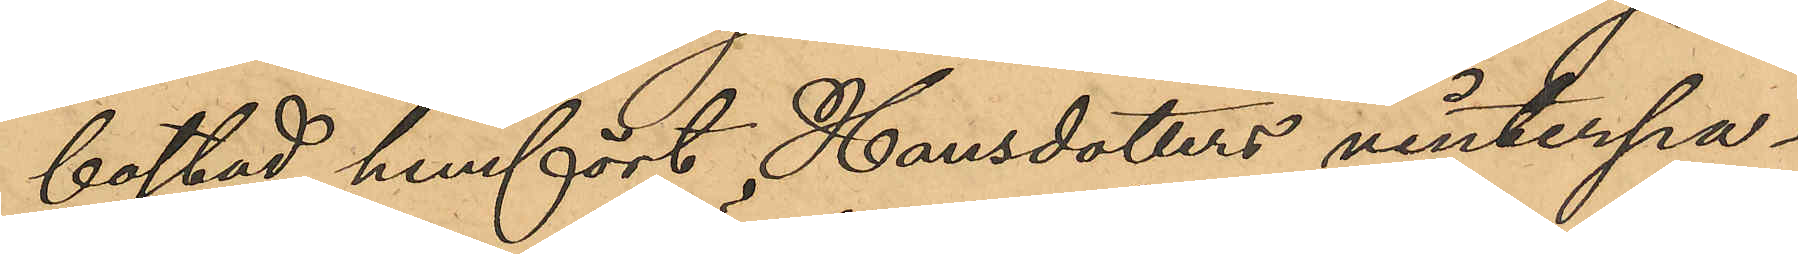bostad hemfört Hansdotters vinterpa¬
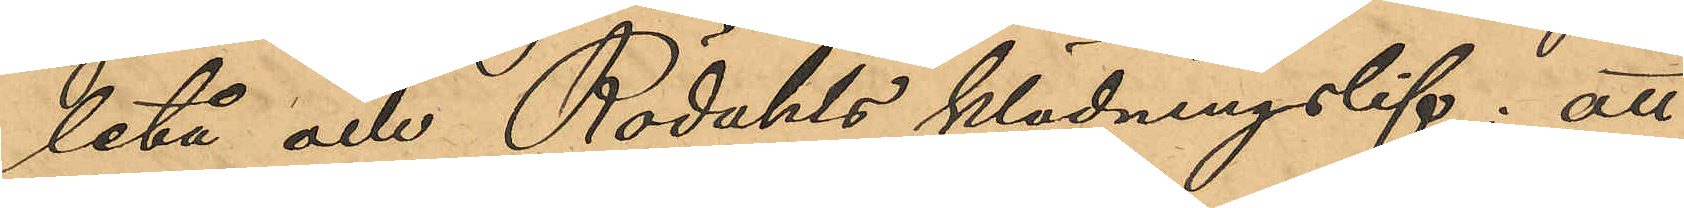letå och Rödahls klädningslif; att
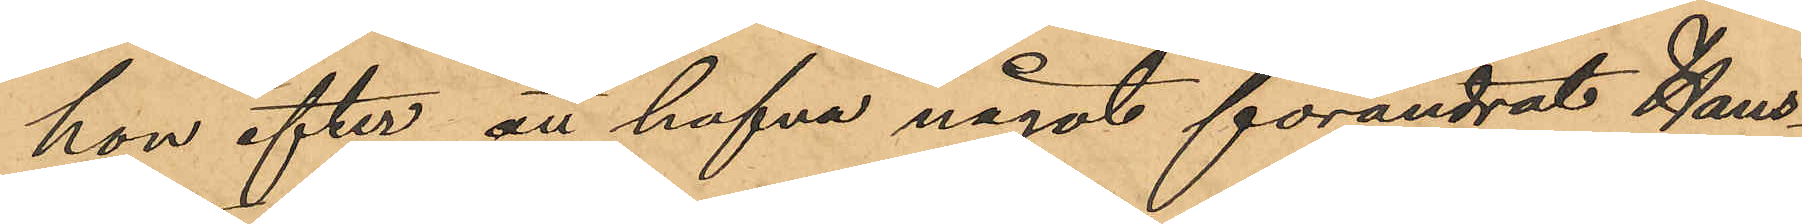hon efter att hafva något förändrat Hans¬
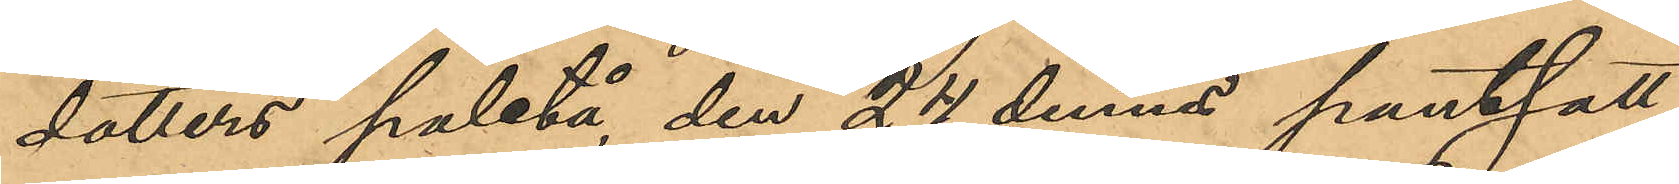dotters paletå, den 24 dennes pantsatt
